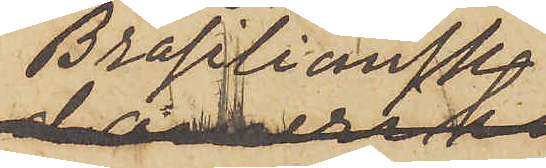Brasiliansk
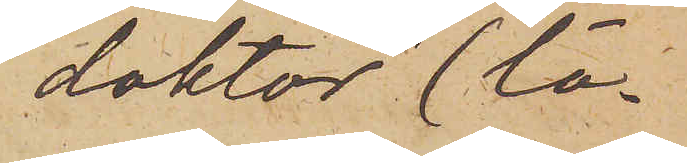"doktor" (lä¬
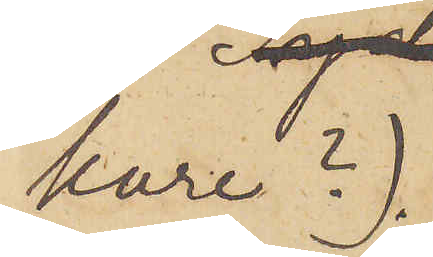kare?);
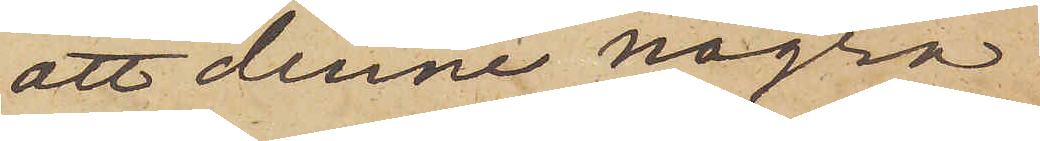att denne några
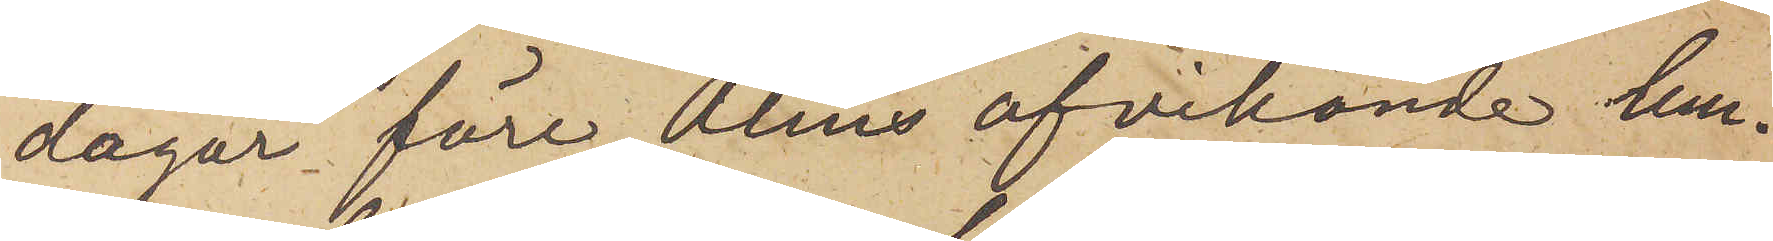dagar före Alms afvikande lem¬
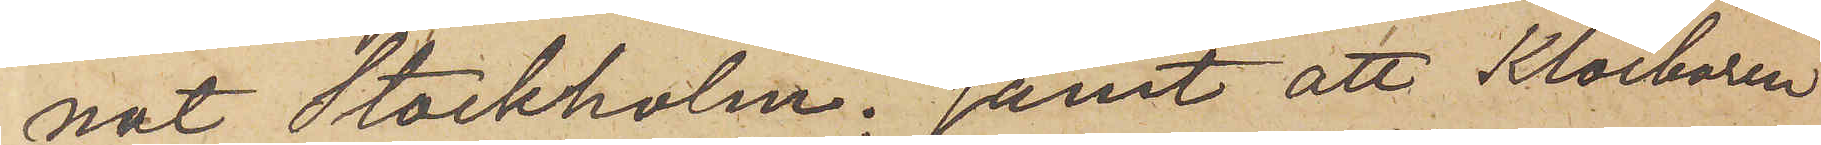nat Stockholm; samt att Klockaren
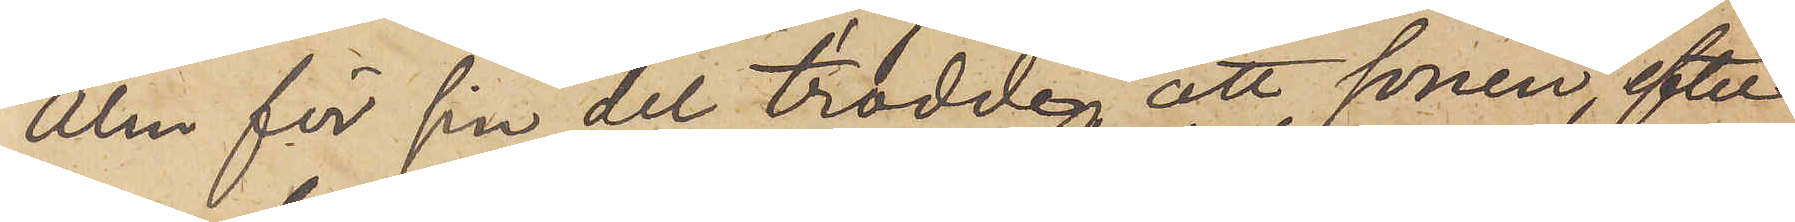Alm för sin del trodde att sonen, efter
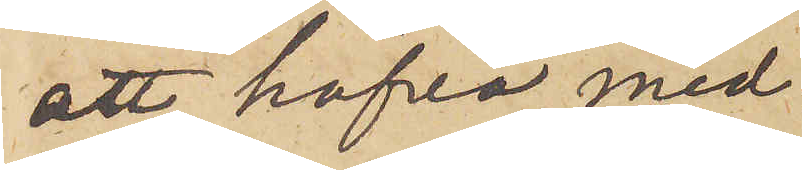att hafva med
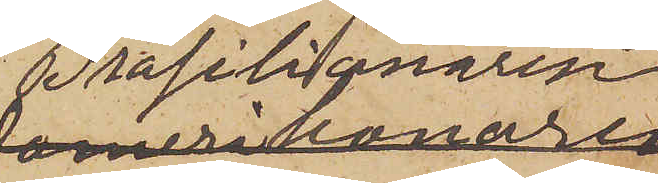Brasilianaren
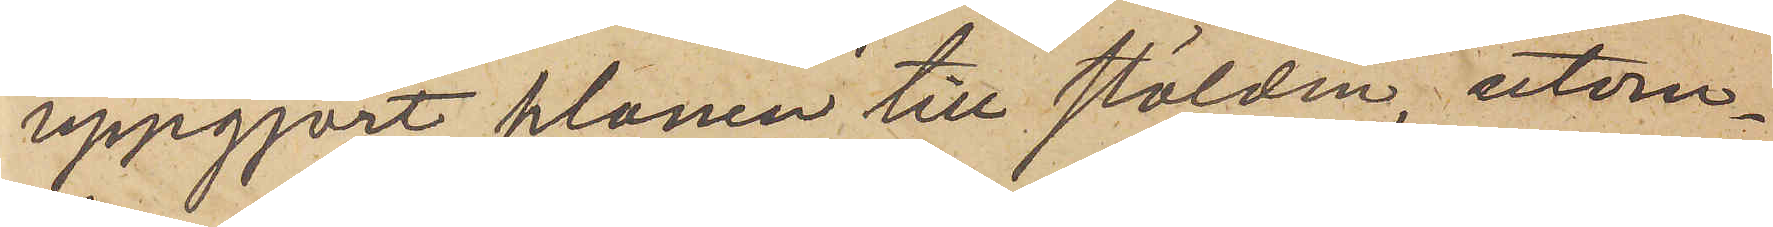uppgjort planen till stölden, utom¬
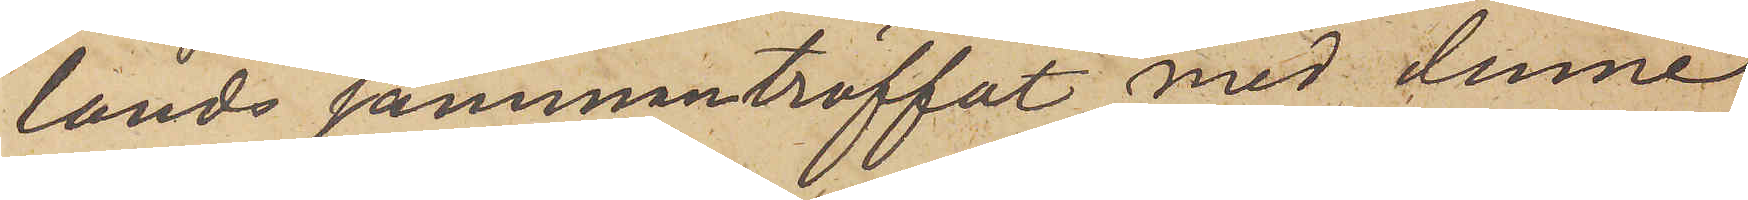lands sammanträffat med denne
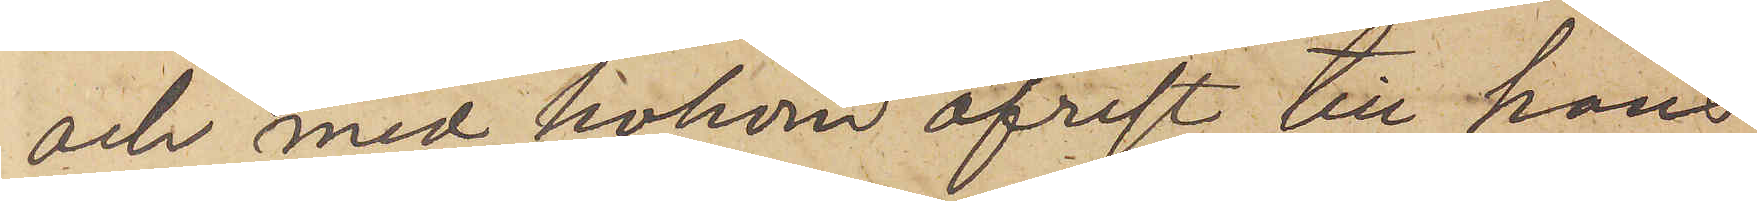och med honom afrest till hans
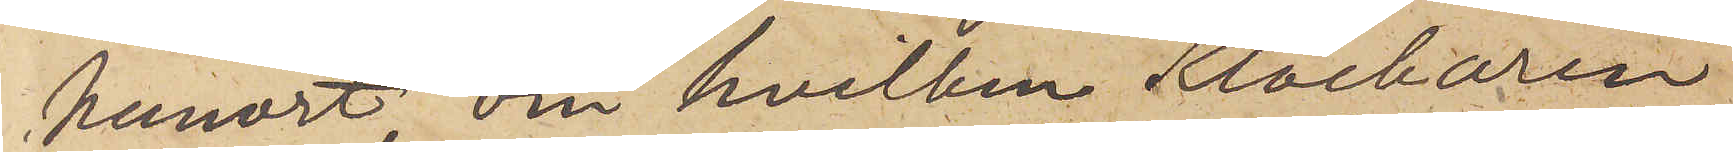hemort, om hvilken Klockaren
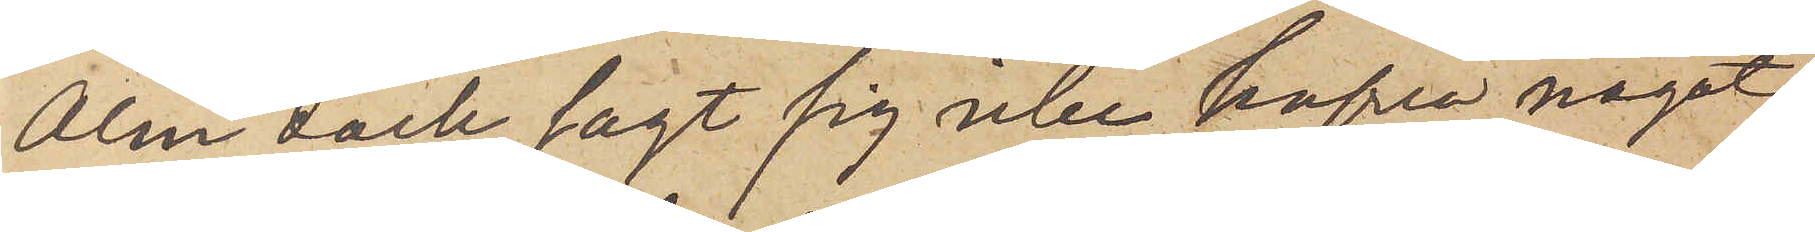Alm dock sagt sig icke hafva något
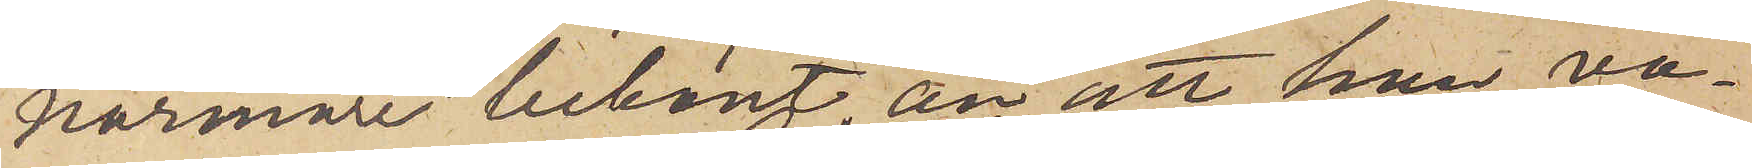närmare bekant än att han va¬
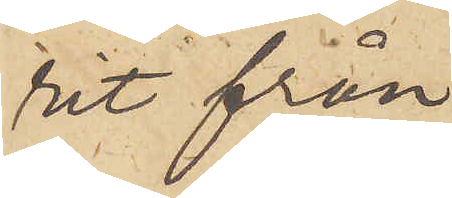rit från
